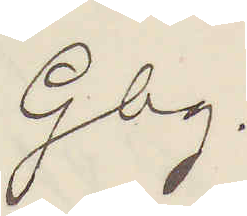Gbg.
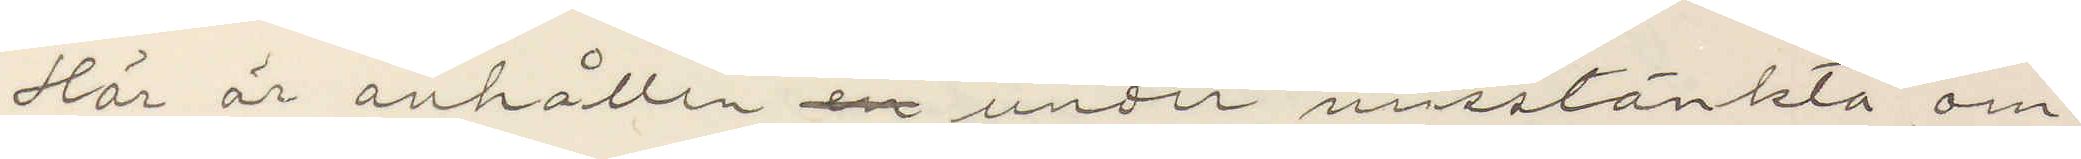Här är anhållen en under misstänkta om¬
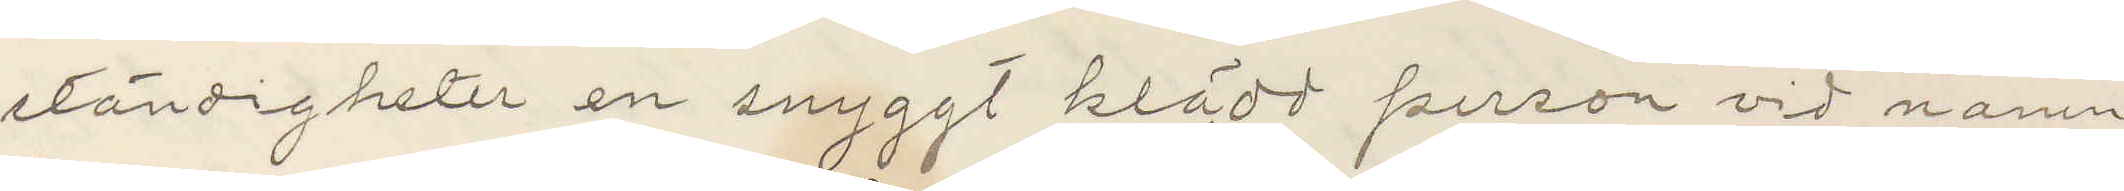ständigheter en snyggt klädt person vid namn
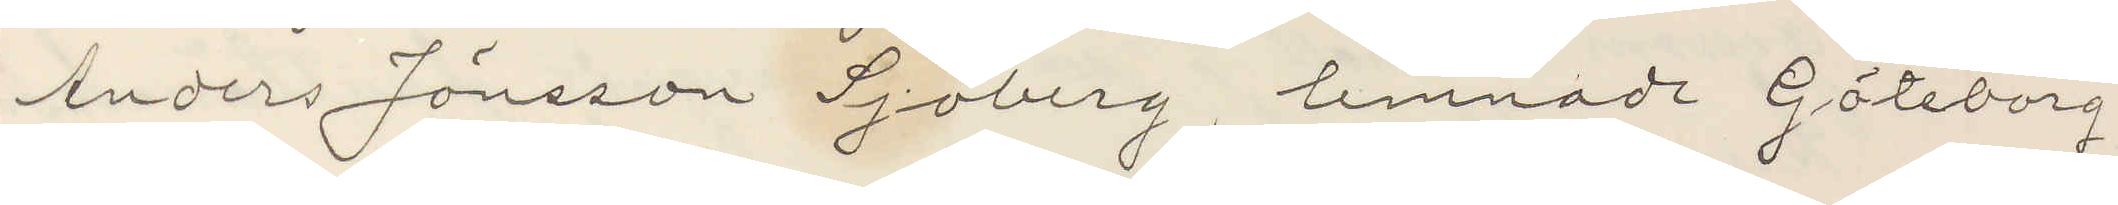Anders Jönsson Sjoberg, lemnadt Göteborg
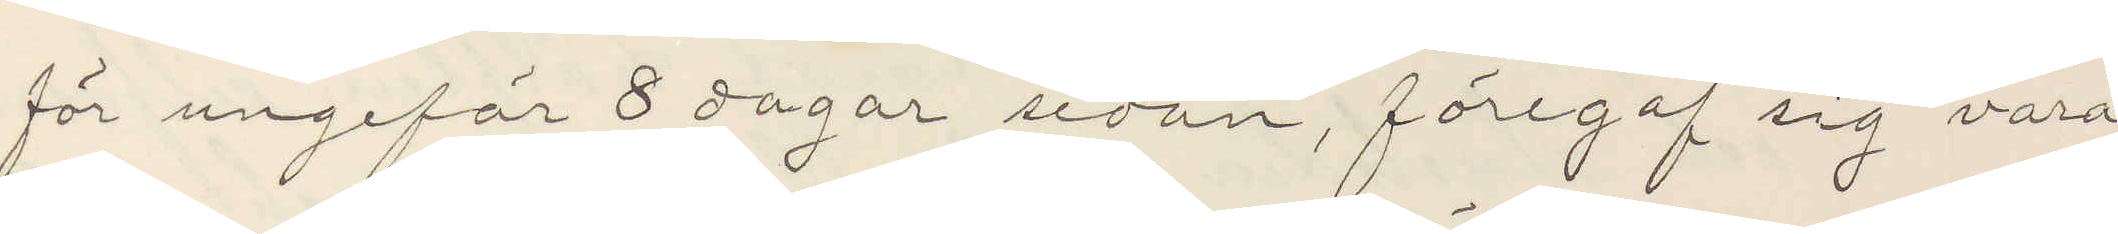för ungefär 8 dagar sedan, föregaf sig vara
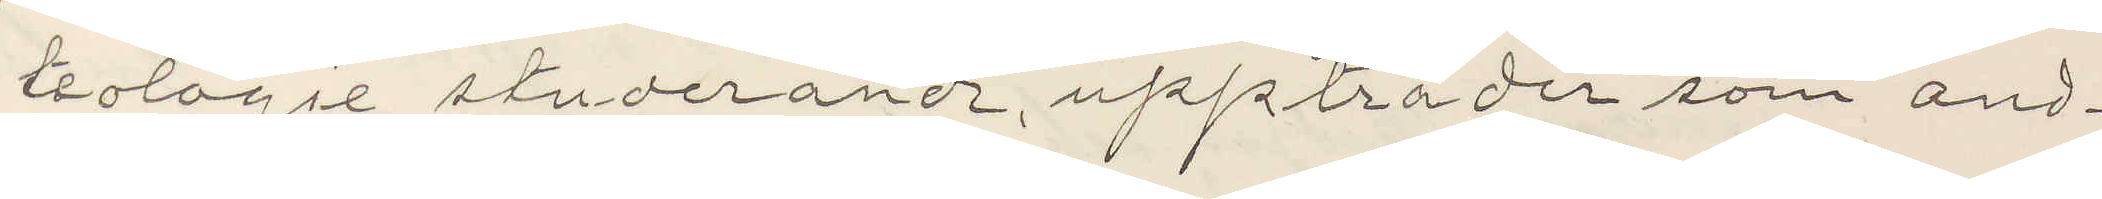teologie studerande, uppträder som and¬
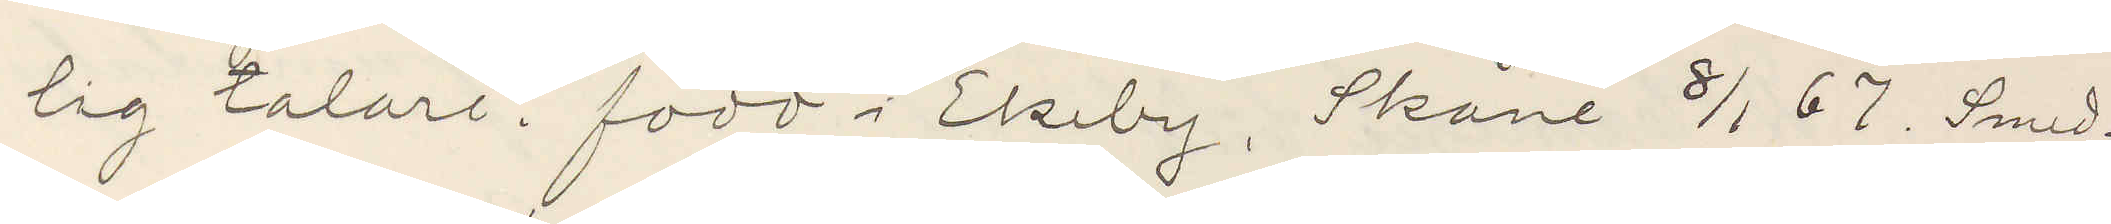lig talare. född i Ekeby, Skåne 8/1 67. Smed¬
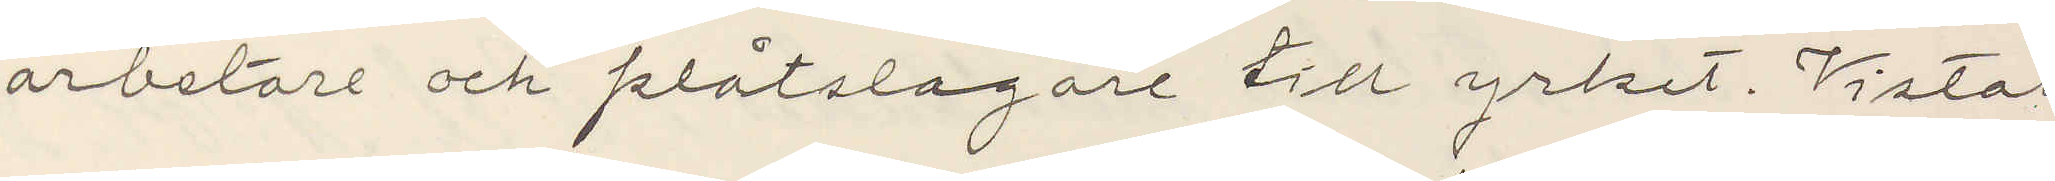arbetare och plåtslagare till yrket. Vistas
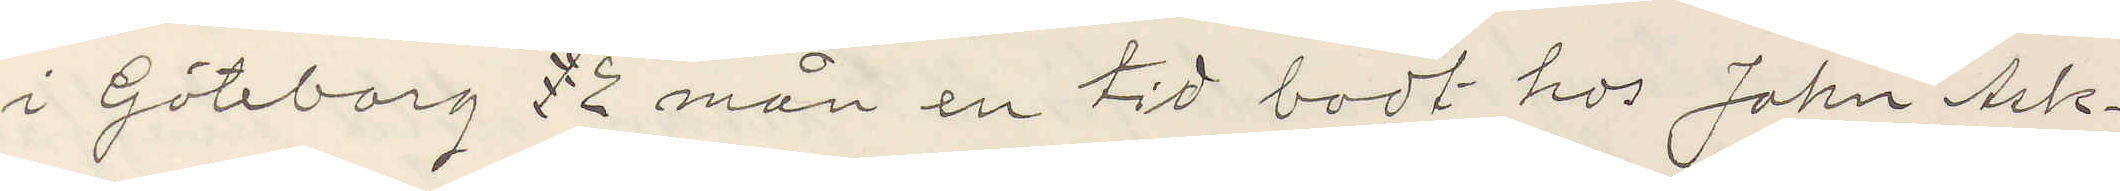i Göteborg 1 2 mån en tid bodt hos John Ask¬
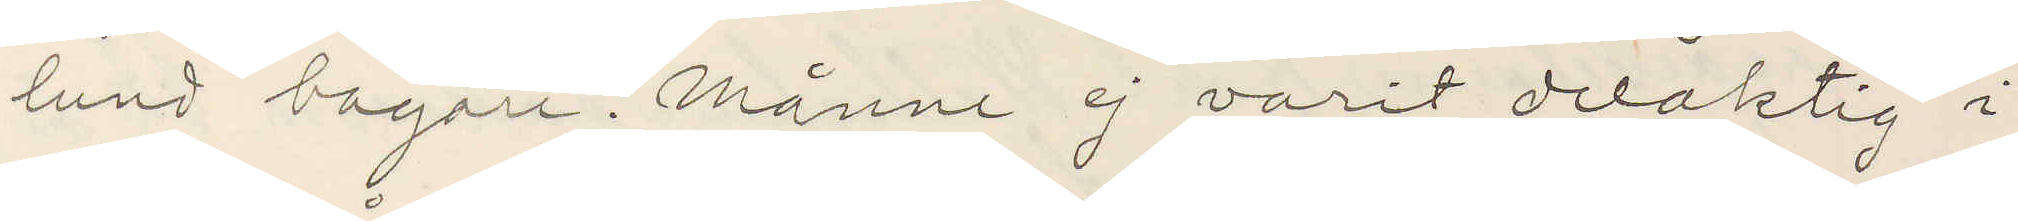lund bagare. Månne ej varit delaktig i
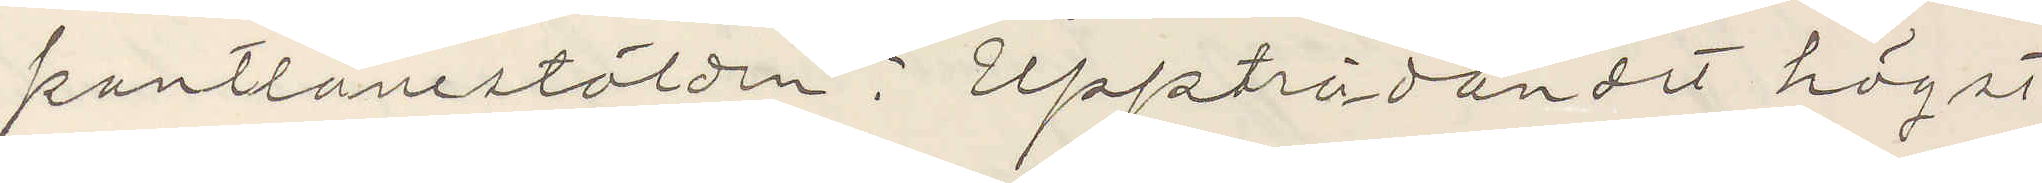pantlånestölden? Uppträdandet högst
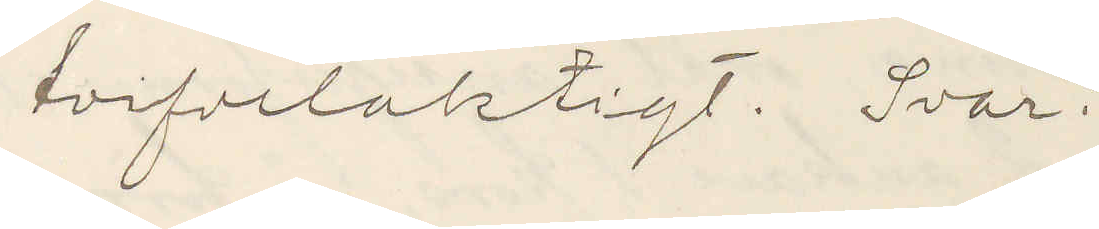tvifvelaktigt. Svar?
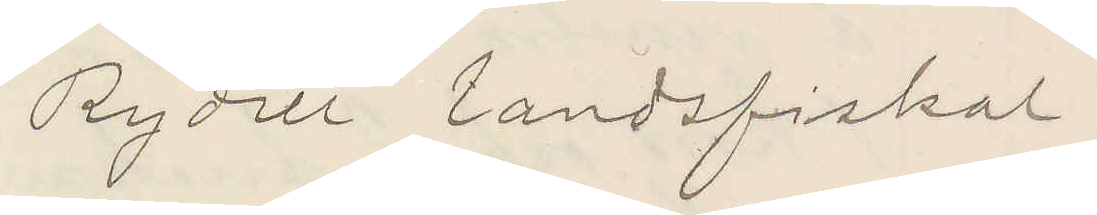Rydell landsfiskal.
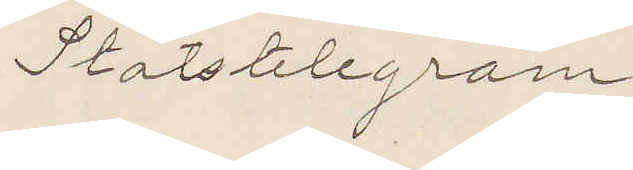Statstelegram
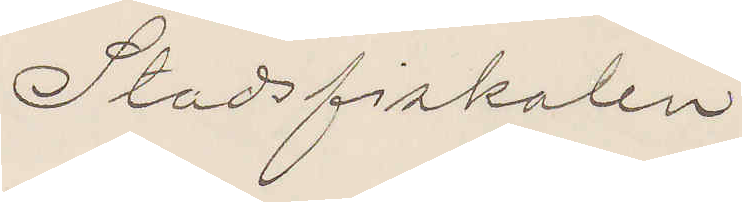Stadsfiskalen
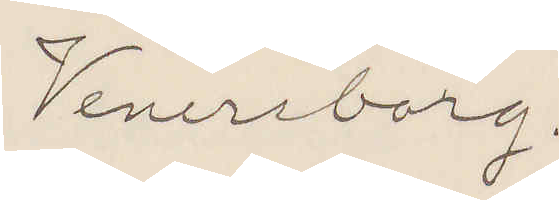Venersborg
